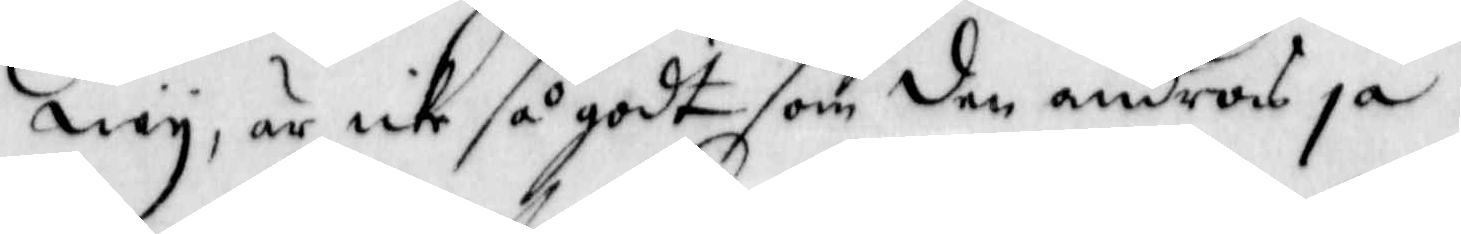ney, är icke så godt som den andras ja.
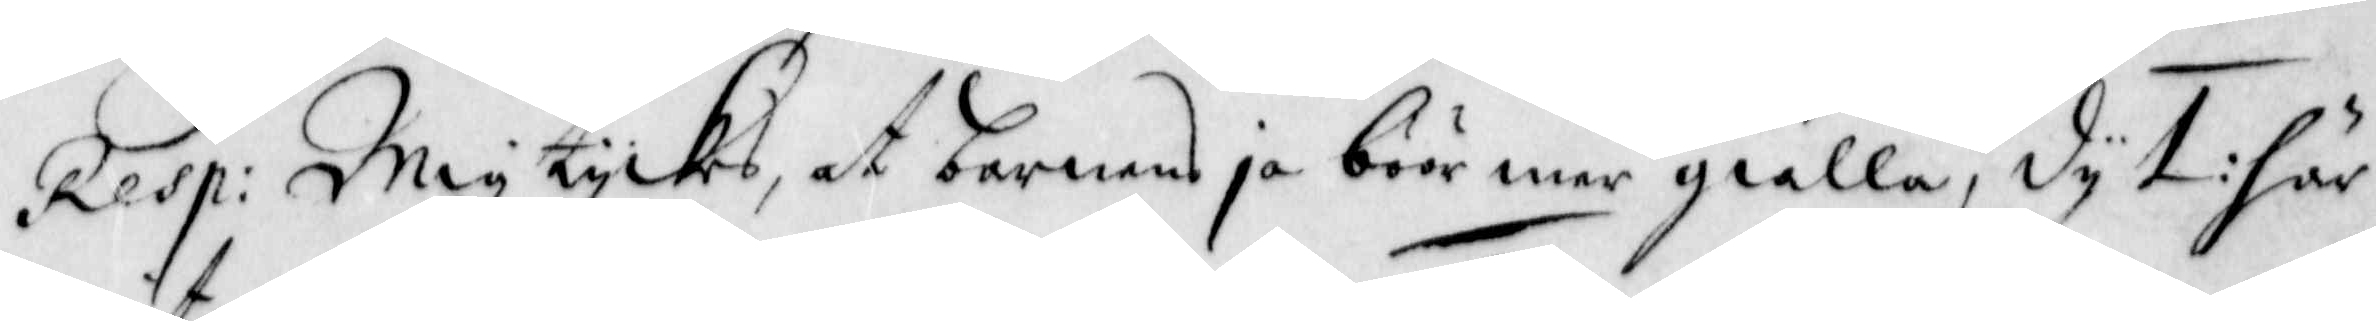Resp: Mig tyckes, at barnens ja böör mer giälla, dy 1: här
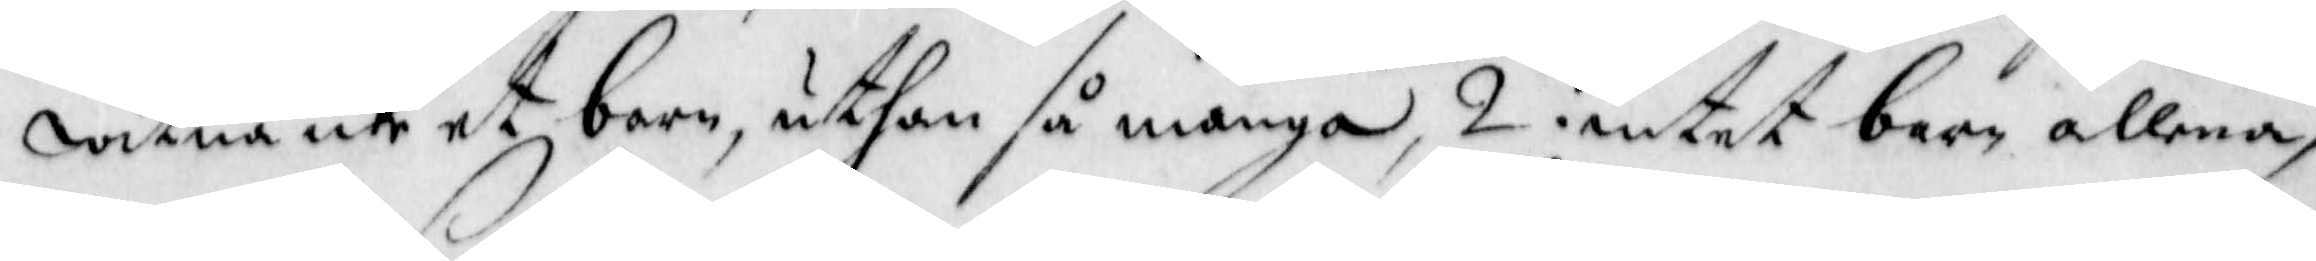witna icke et barn, uthan så många, 2: intet barn allena,
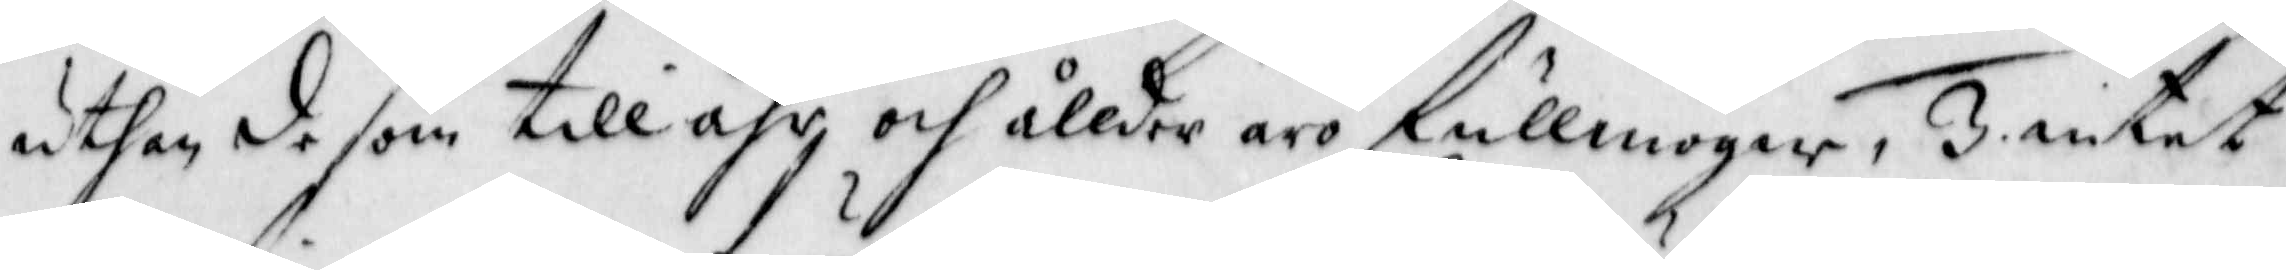uthan de som till åhr och ållder äro fullmogne, 3. intet
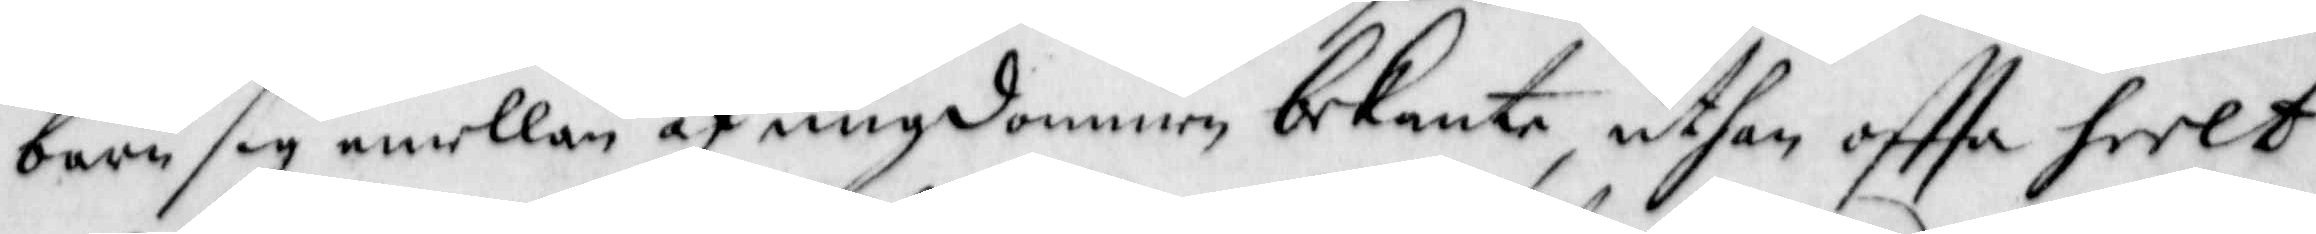barn sig emellan af ungdommen bekanta, uthan offta heelt
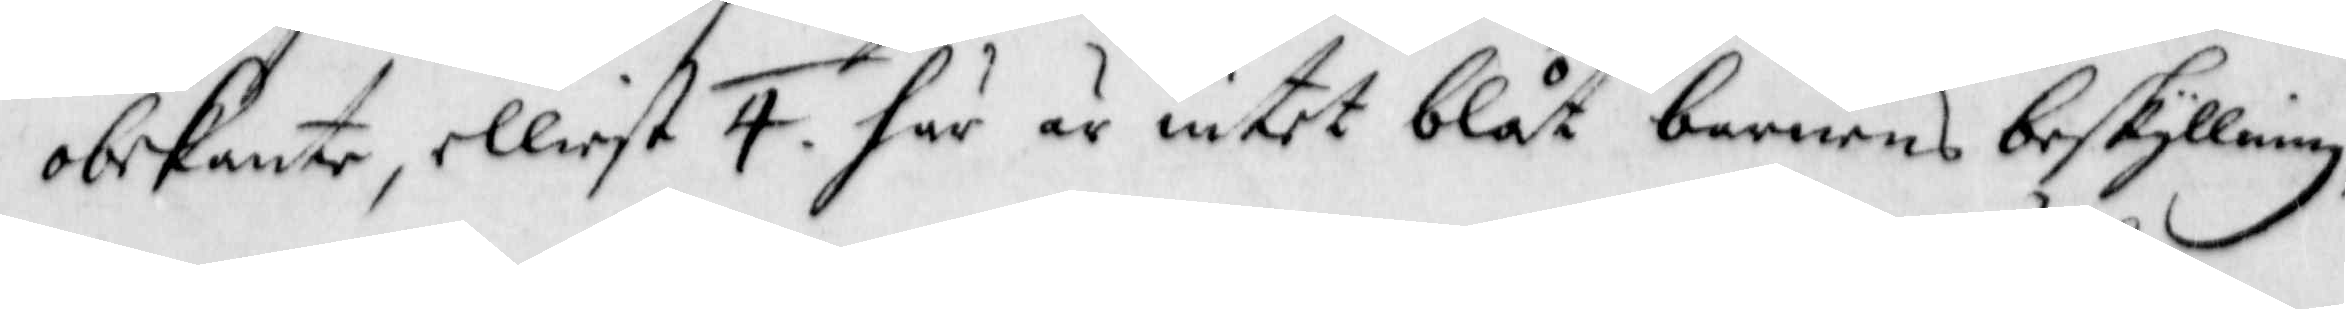obekante, elliest 4. här är intet blåt barnens beskyllning,
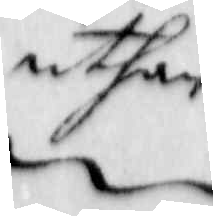uthan
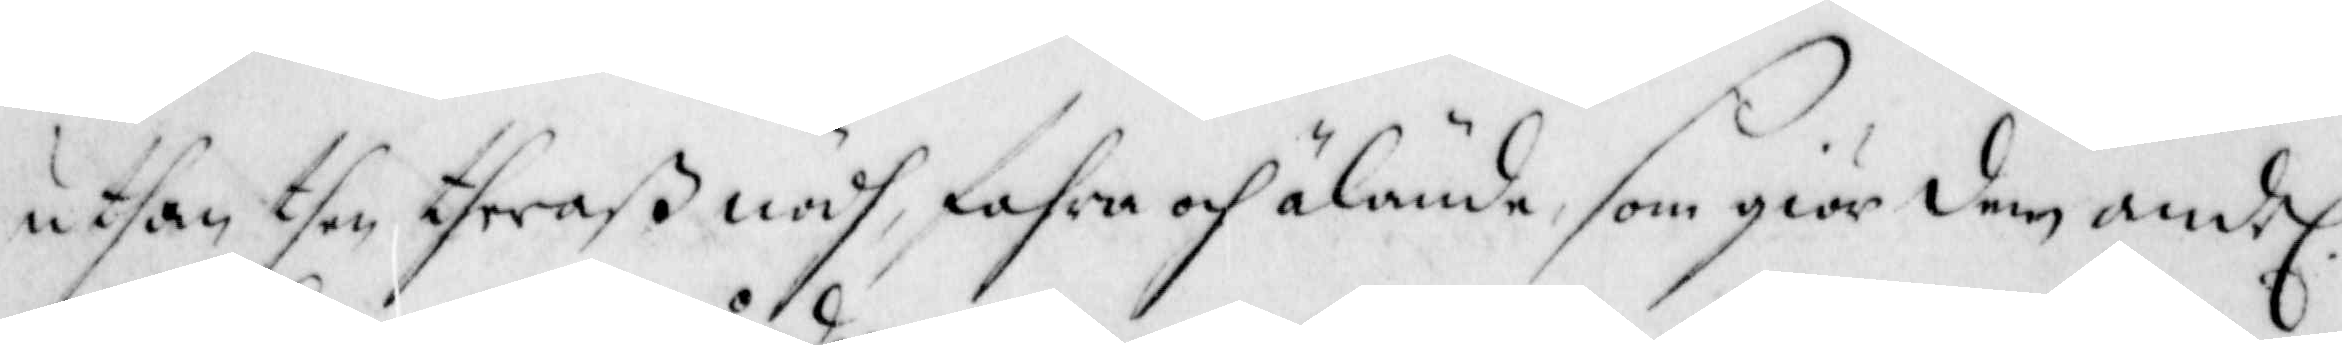uthan then theraß nödh, fahra och älände, som giör dem andel:
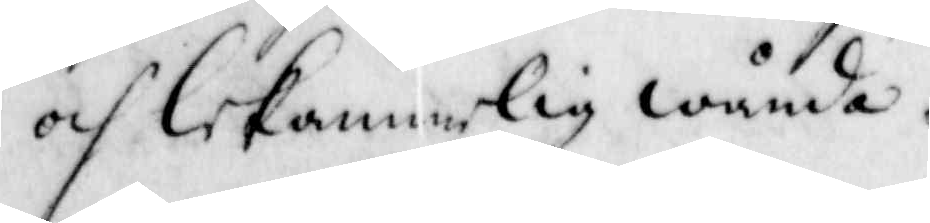och lekamerlig wånda.
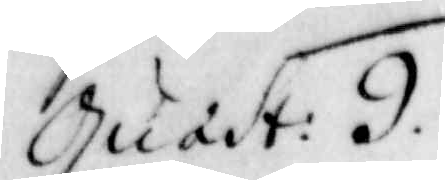Quast: 9.
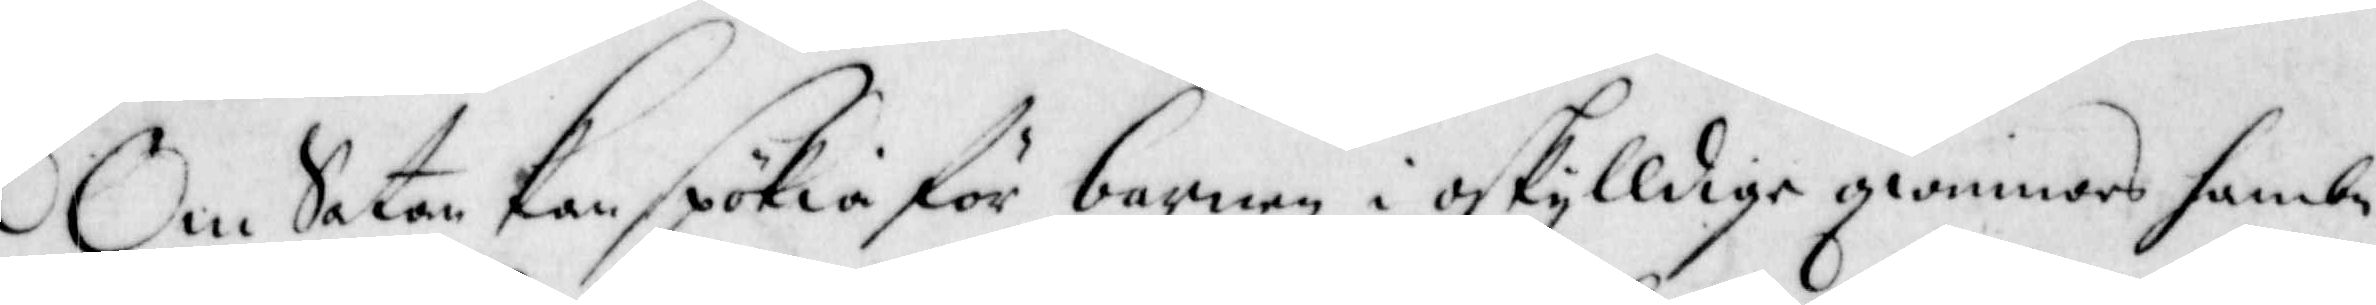Om Satan kan spökia för barnen i oskylldige qwinnors hambn.
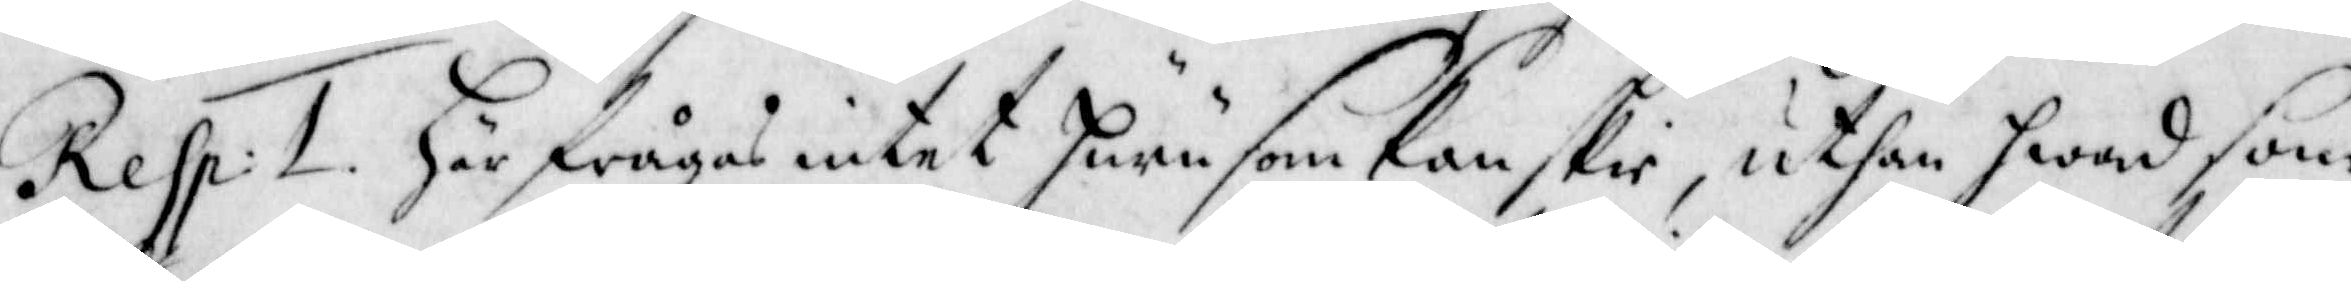Resp: 1. Här frågas intet huru som kanskie, uthan hwad som
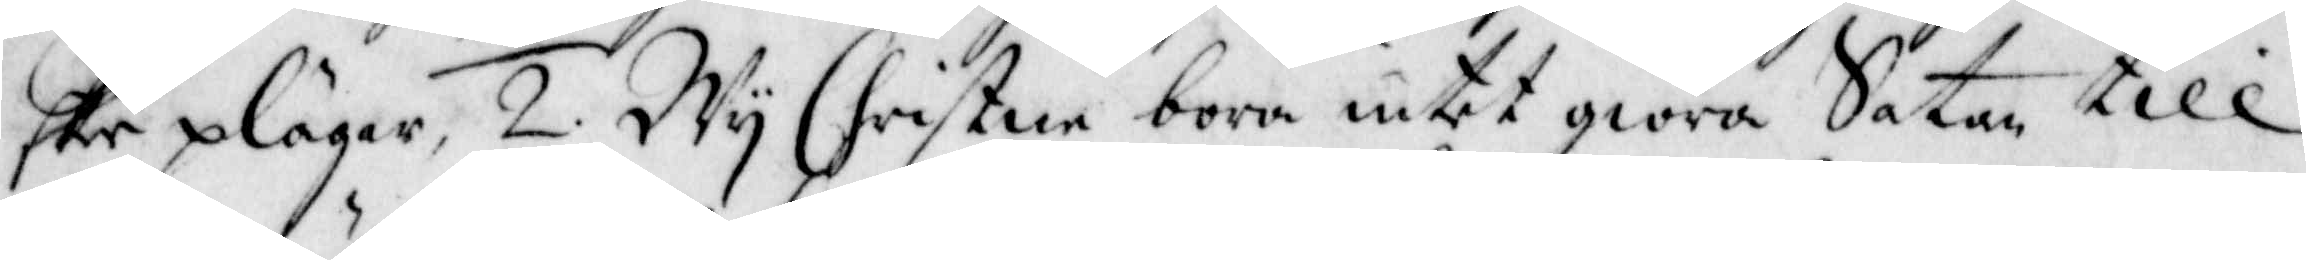ske plägar, 2. Wy Christne böra intet giöra Satan till
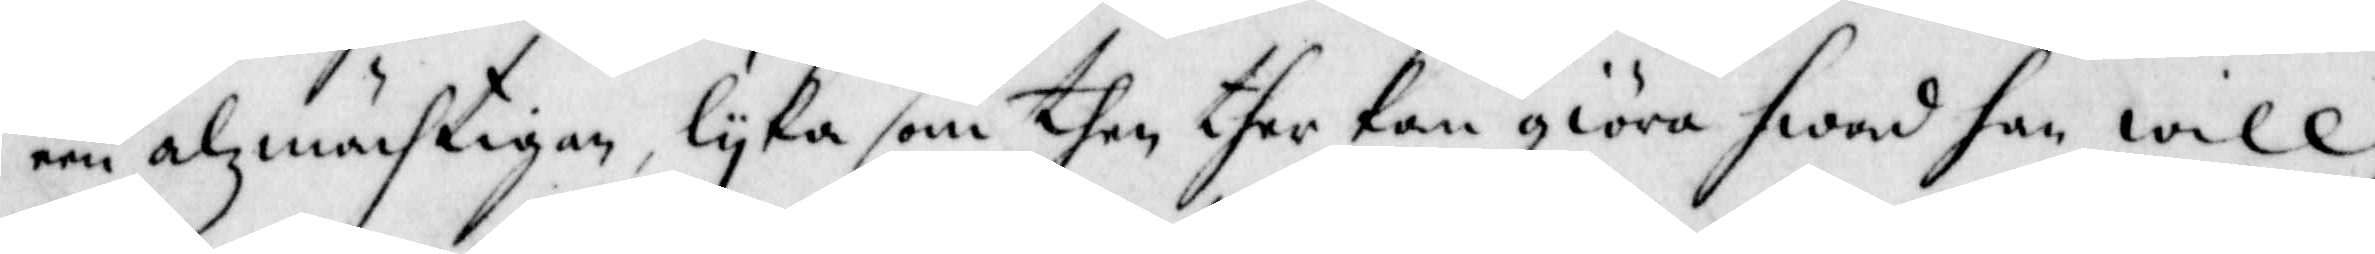een alzmächtigen, lyka som then ther kan giöra hwad han will,
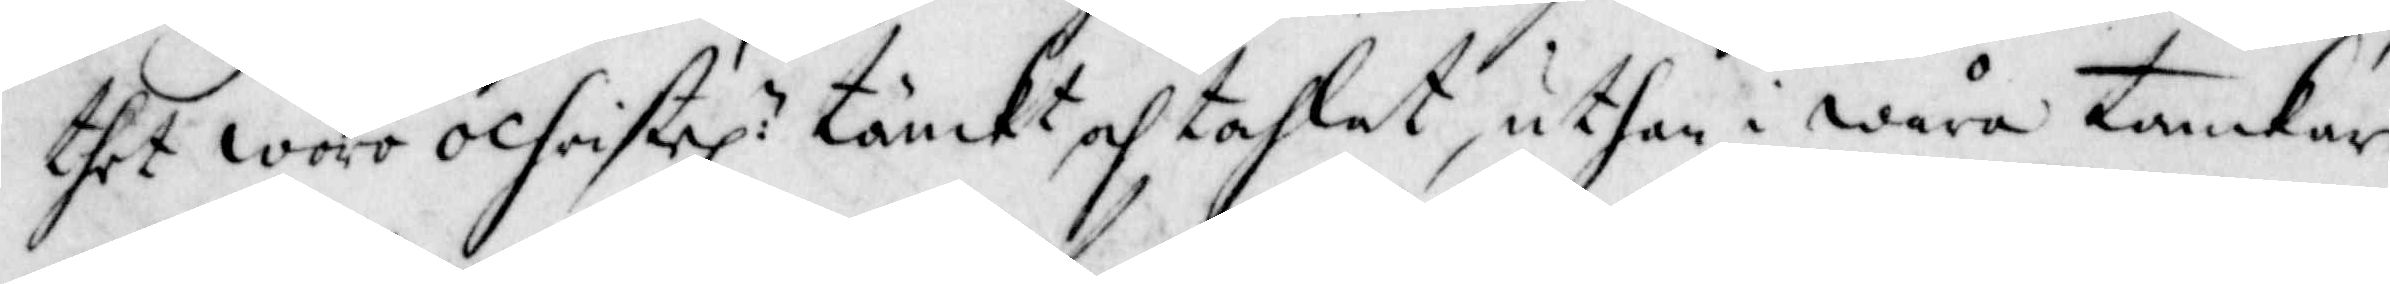thet woro ochristel: tänckt och tahlat, uthan i wåra tankar
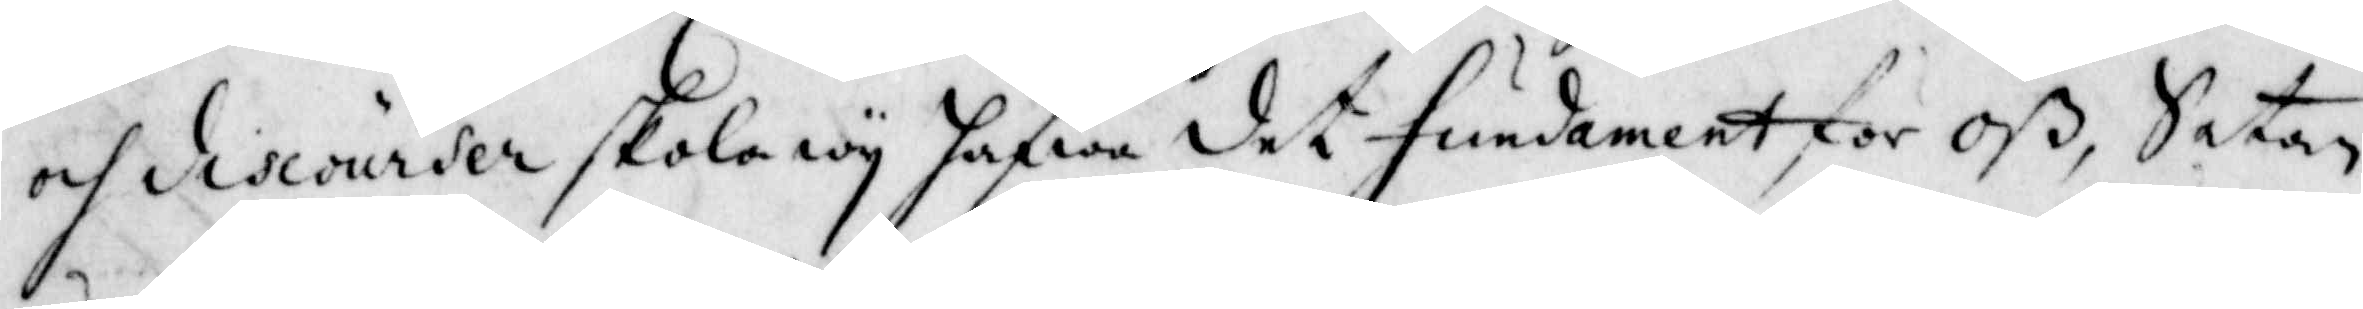och discourser skola wy hafwa det fundamnet för oß, satan
